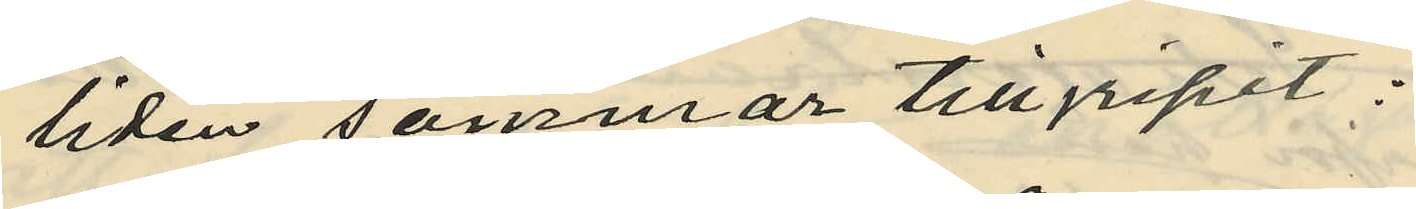liden sommar tillgripit:
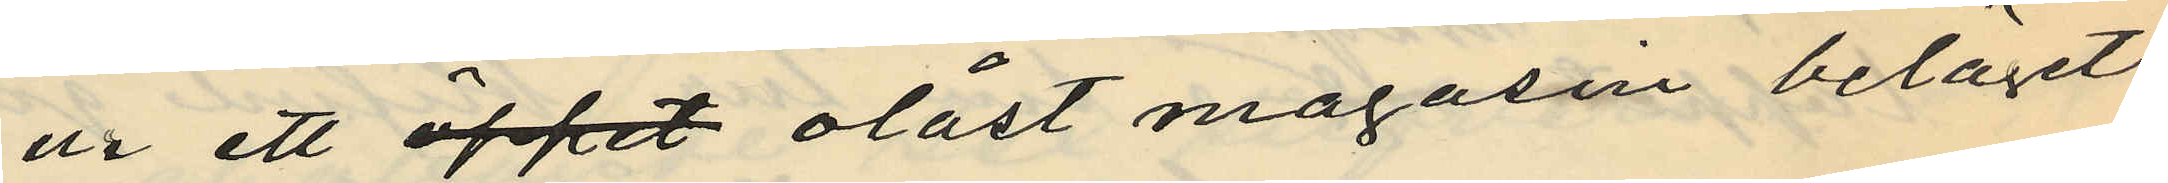ur ett öppet olåst magasin beläget
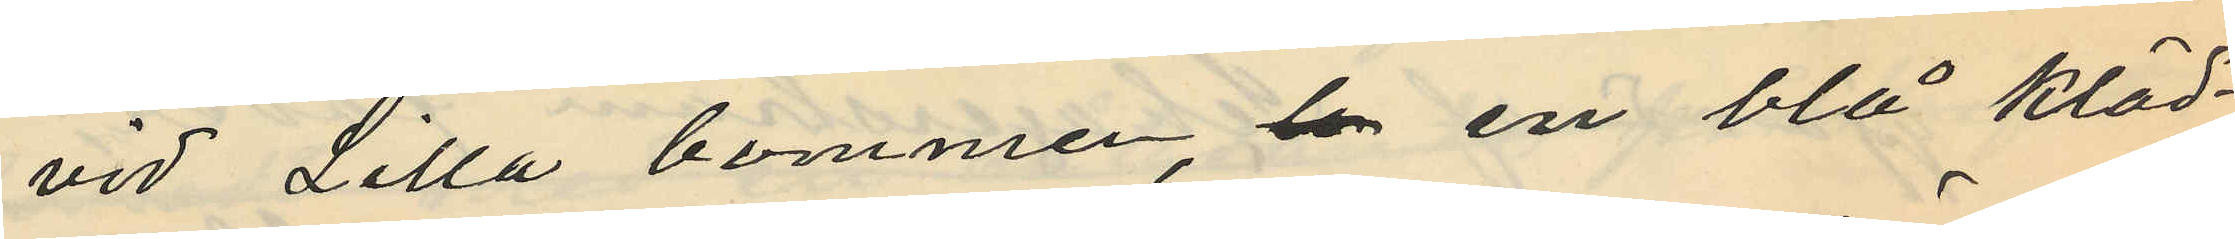vid Lilla bommen,  ben en blå kläd¬
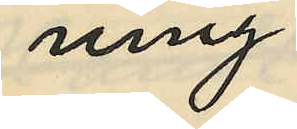ning
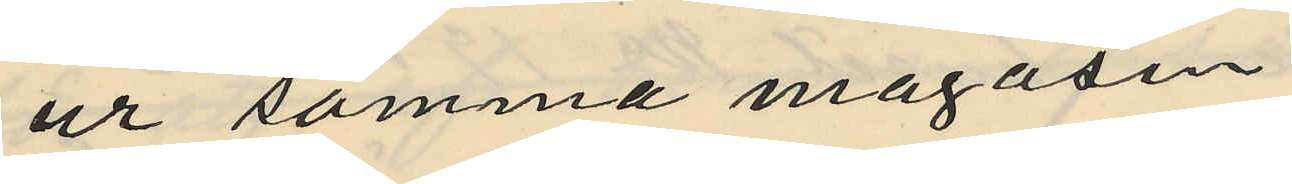ur samma magasin
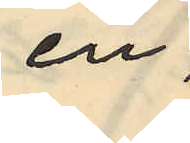en
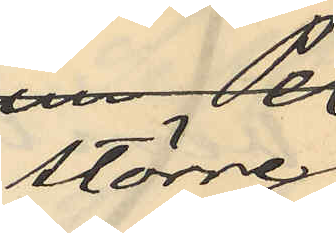större
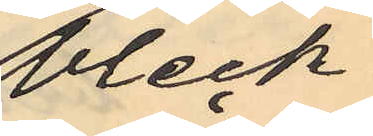bleck¬
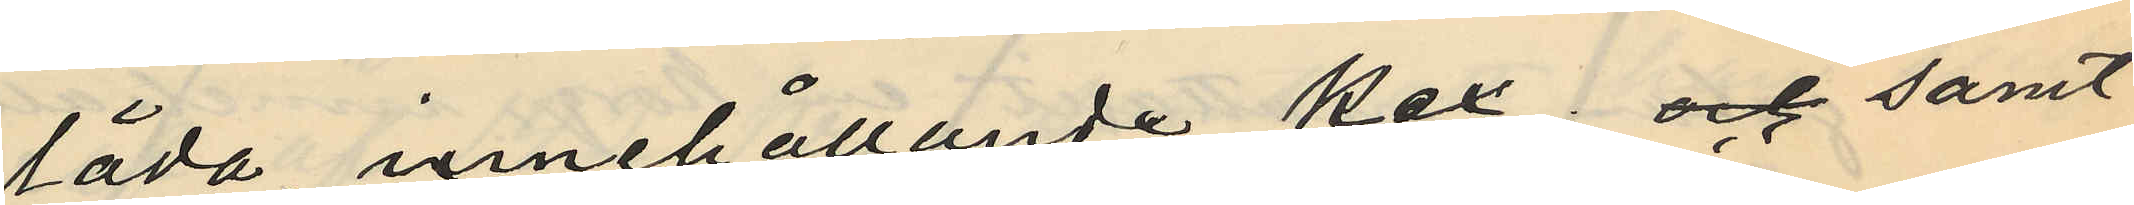låda innehållande kex; och samt
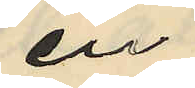en
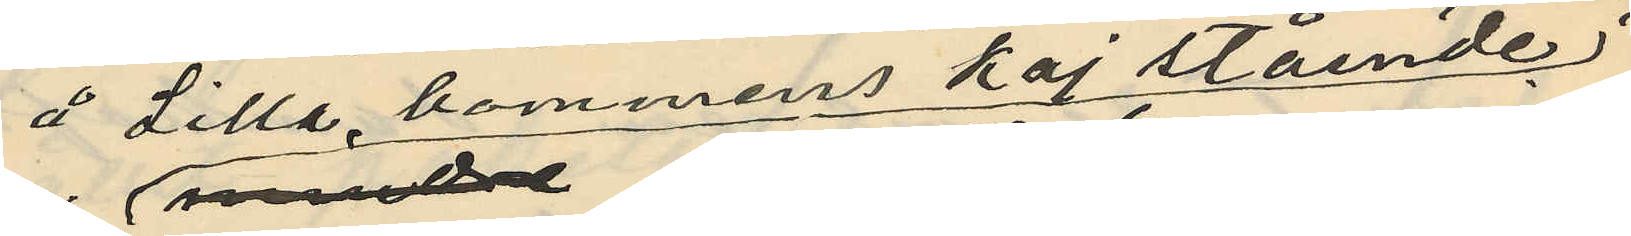å Lilla bommens kaj stående
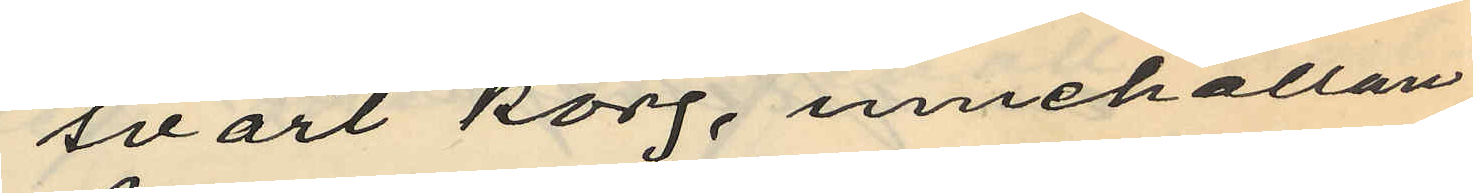svart korg, innehållan¬
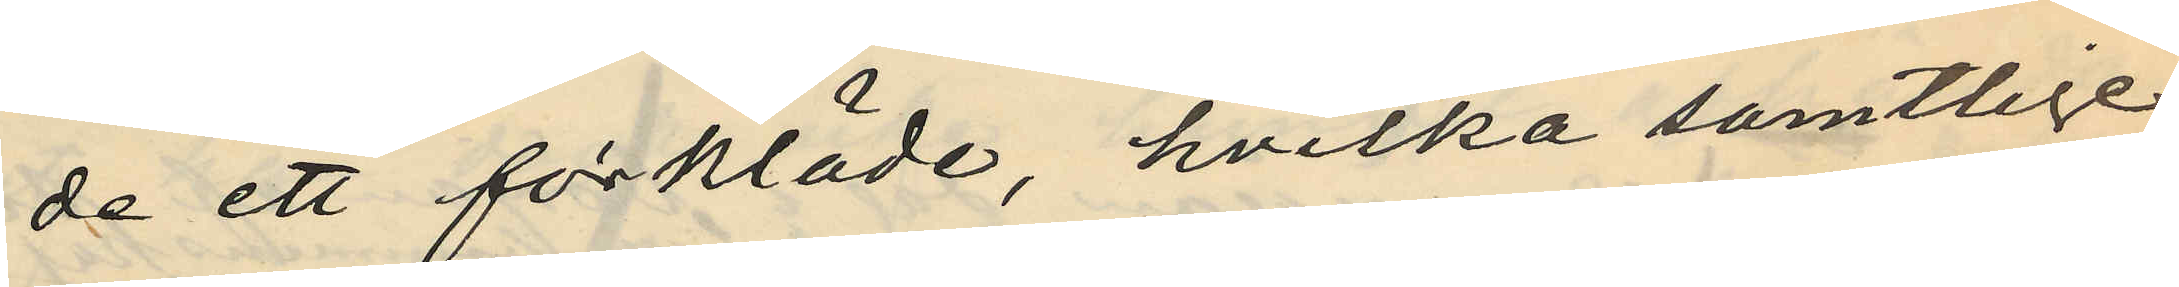de ett förkläde, hvilka samtlige
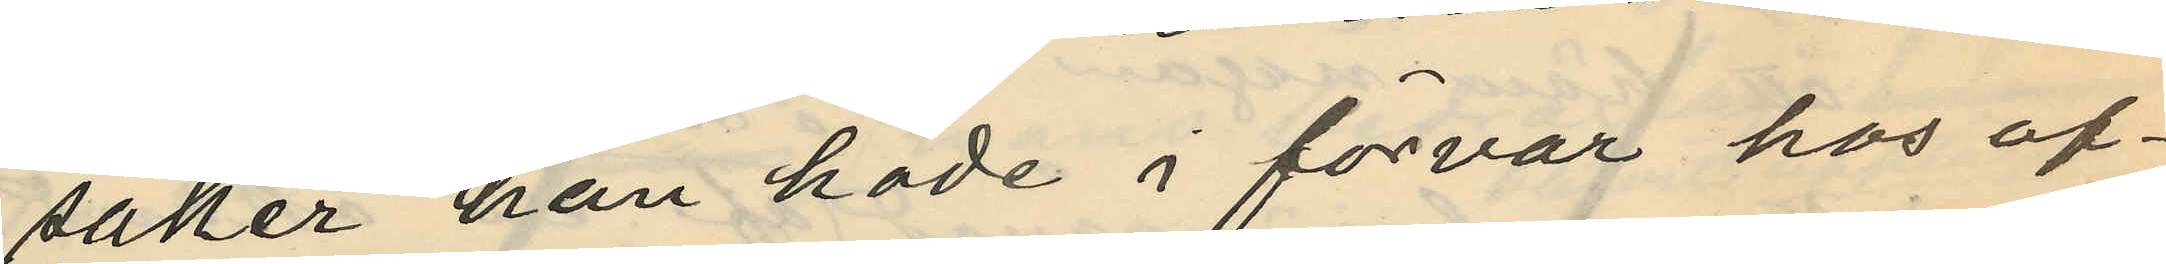saker han hade i förvar hos of¬
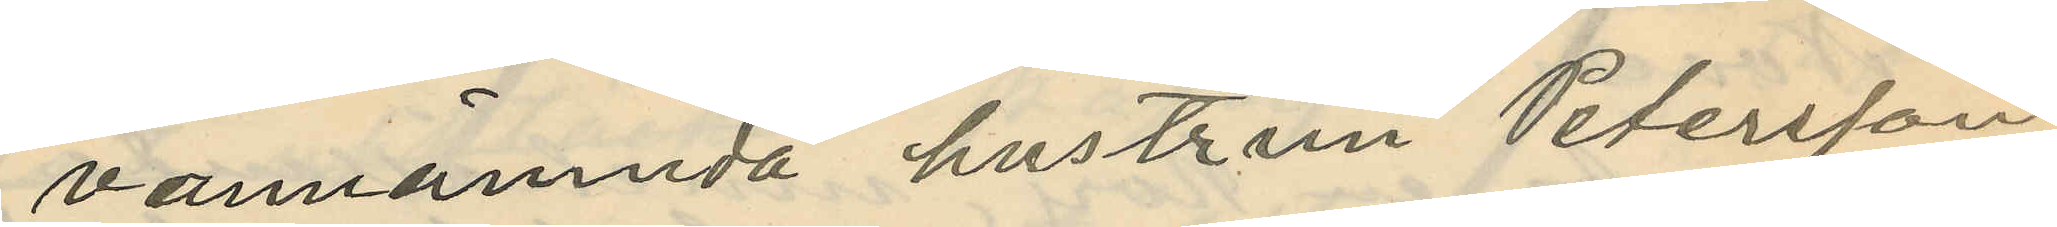vannämnda hustrun Petersson
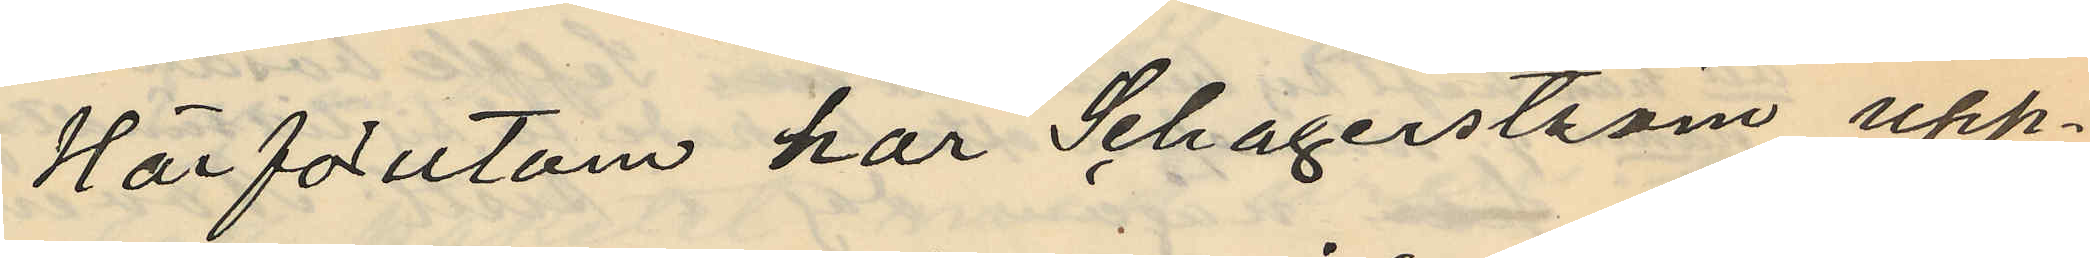Härförutom har Schagerström upp¬
